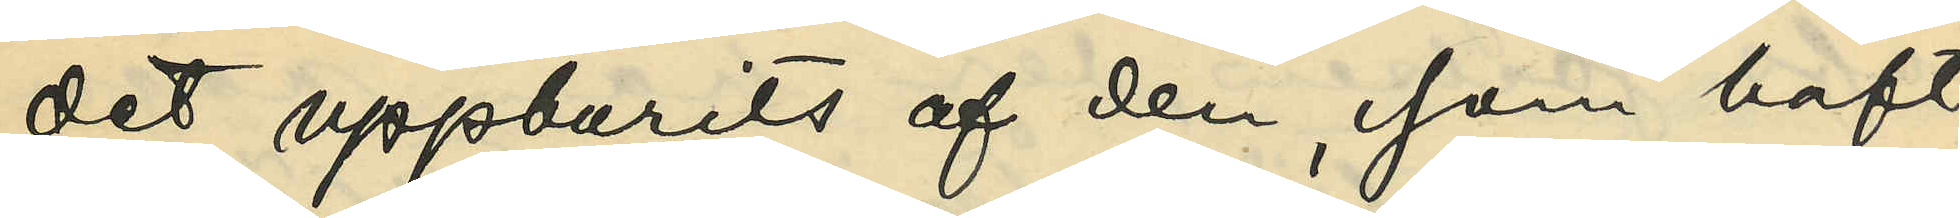det uppburits af den, som haft
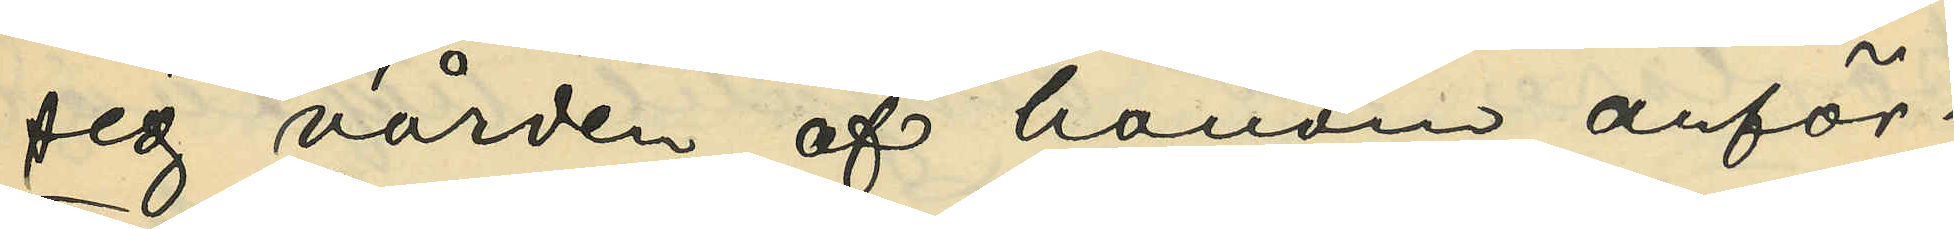sig vården af honom anför¬
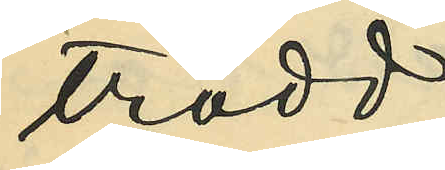trodd;
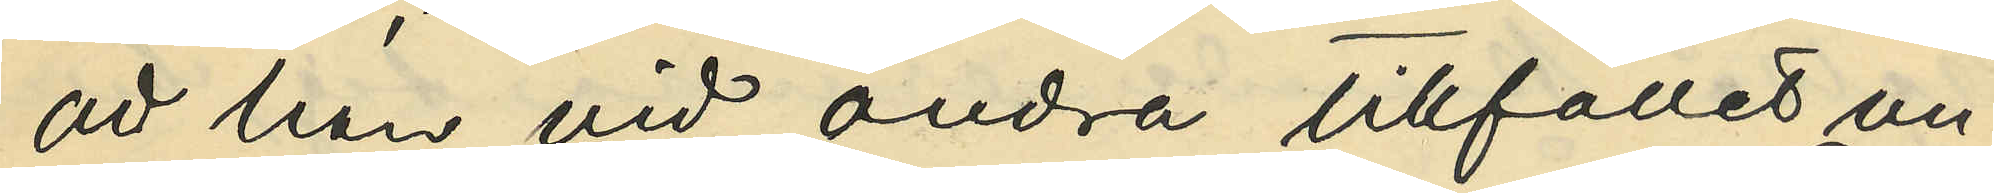att han vid andra tillfället un¬
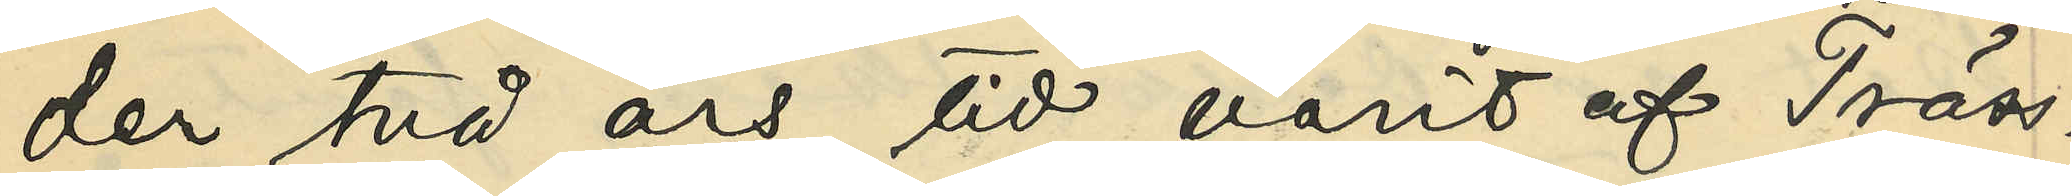der två års tid varit af Träss¬
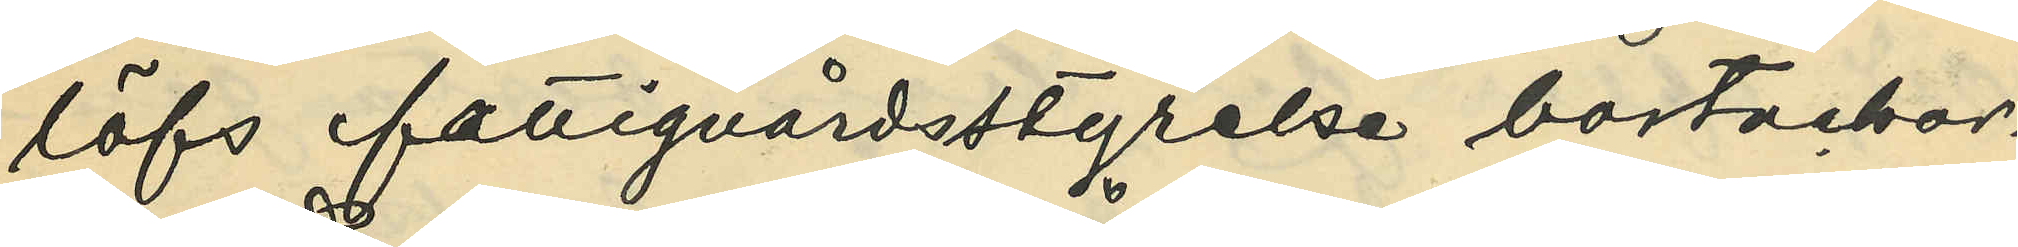löfs fattigvårdsstyrelse bortackor¬
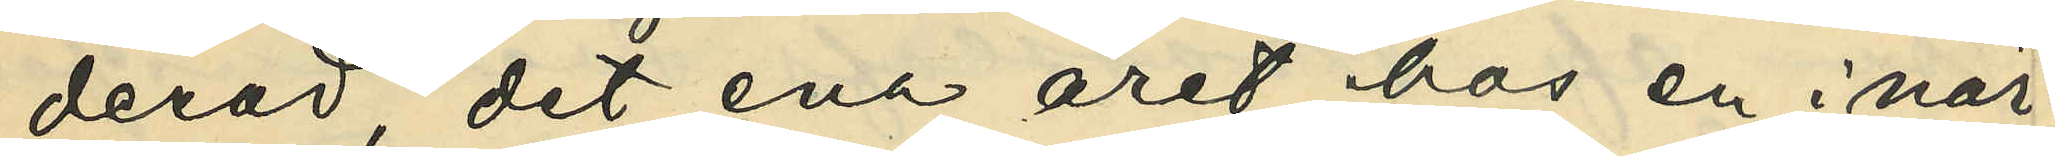derad, det ena året hos en i när¬
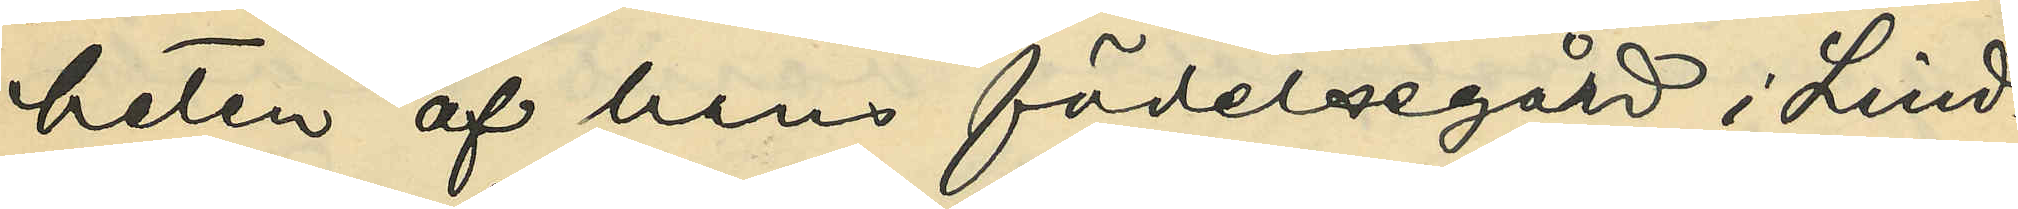heten af hans födelsegård i Lind¬
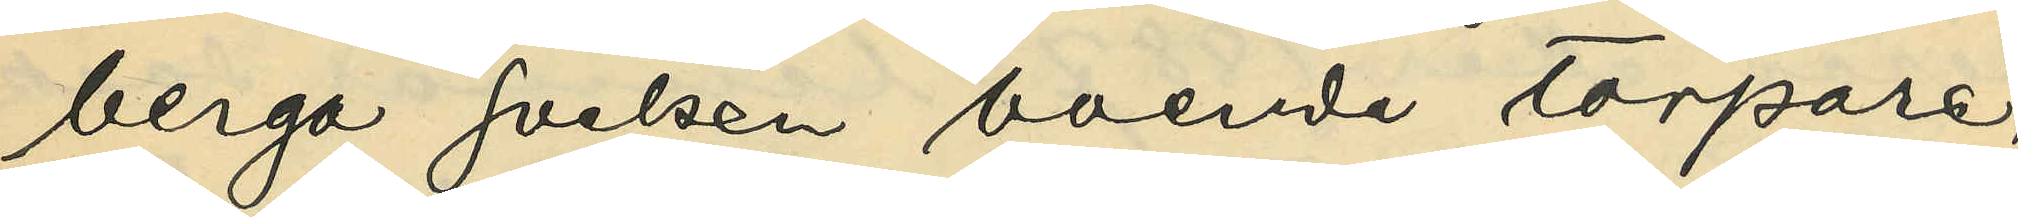berga socken boende torpare,
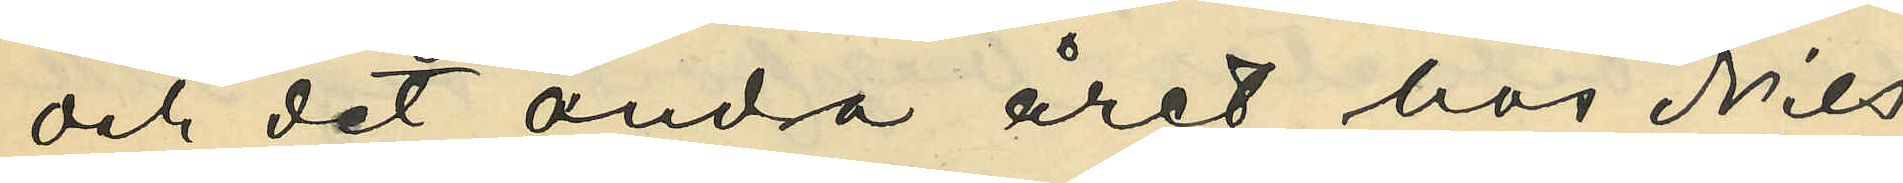och det andra året hos Nils
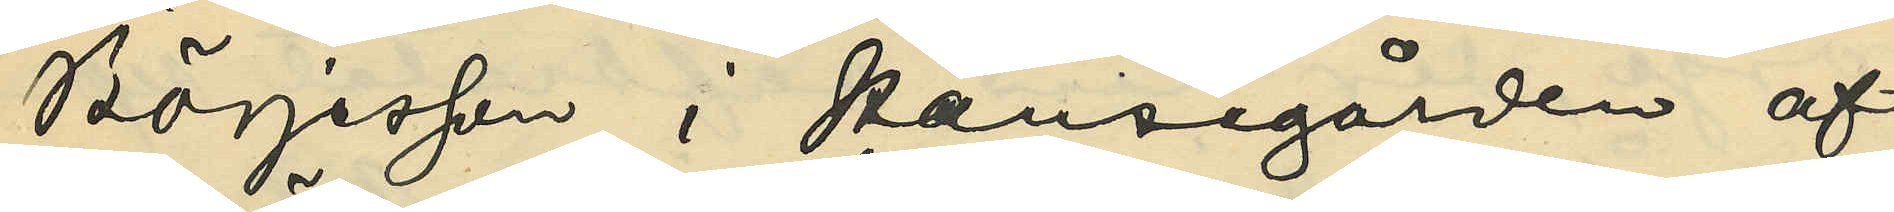Börjesson i Hansegården af
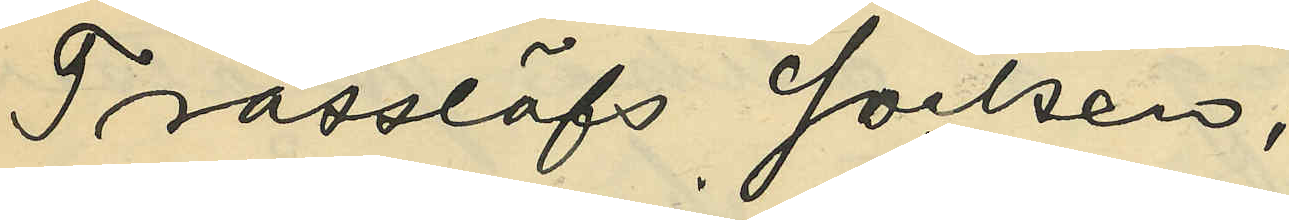Trässlöfs socken;
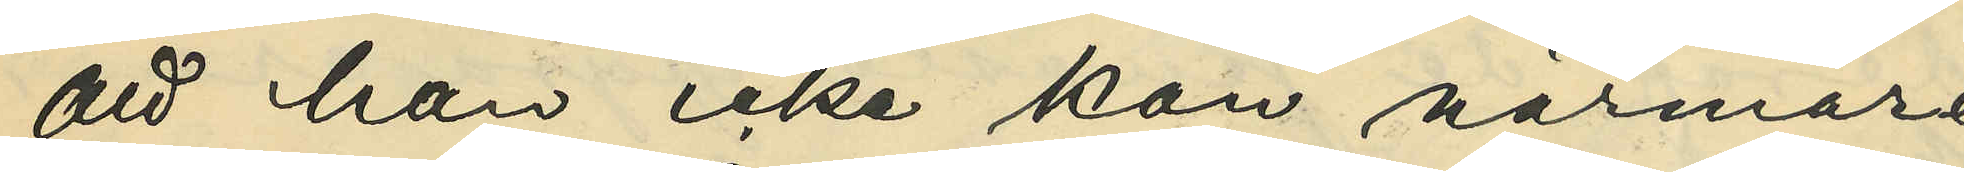att han icke kan närmare
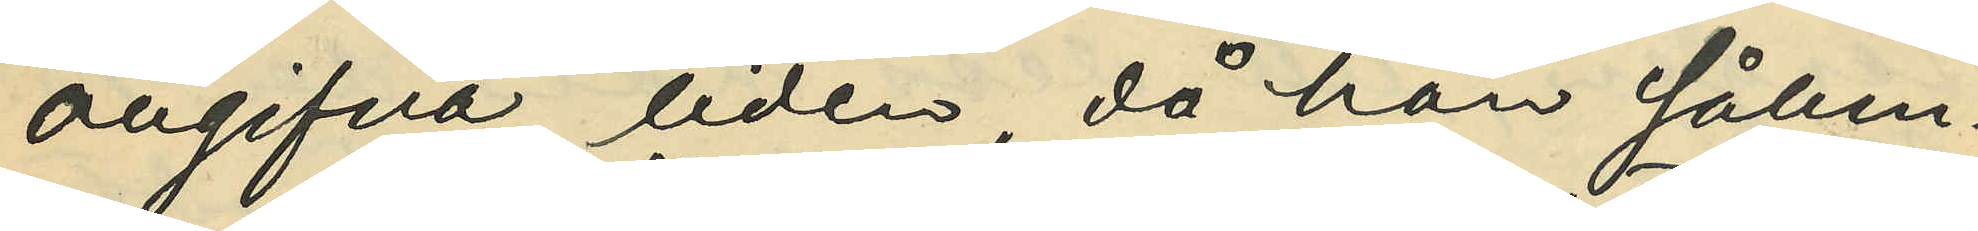angifva tiden, då han sålun¬
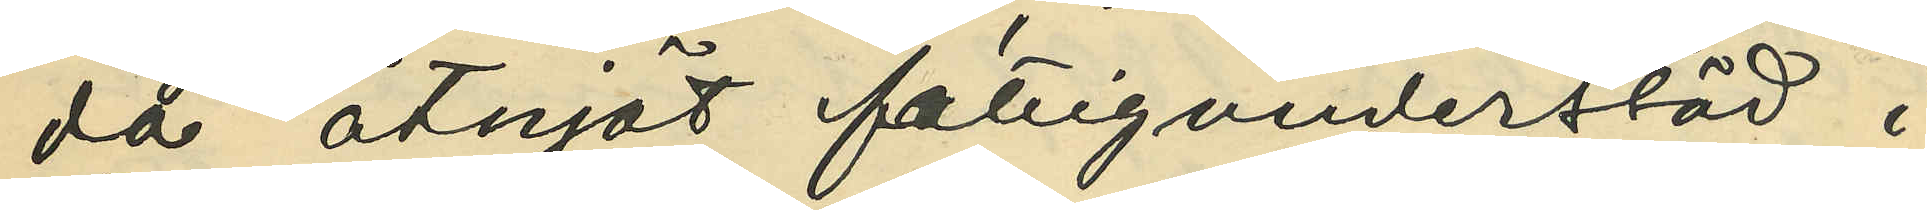da åtnjöt fattigunderstöd i
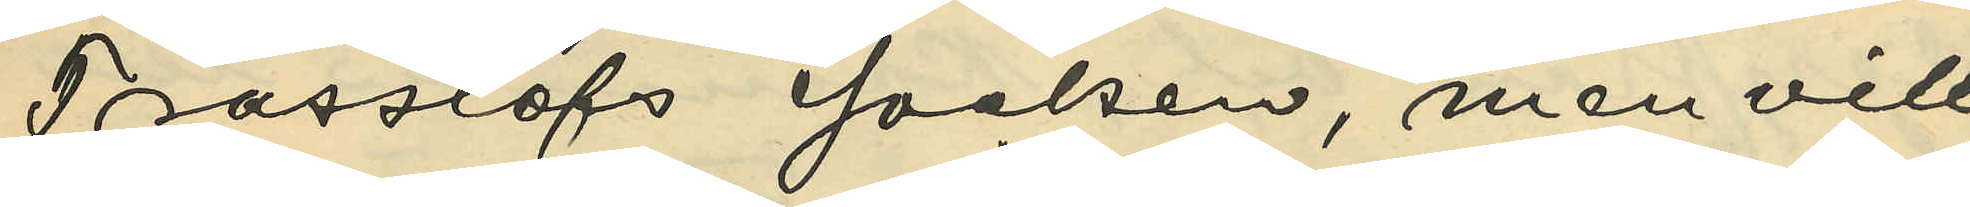Trässlöfs socken, men vill
